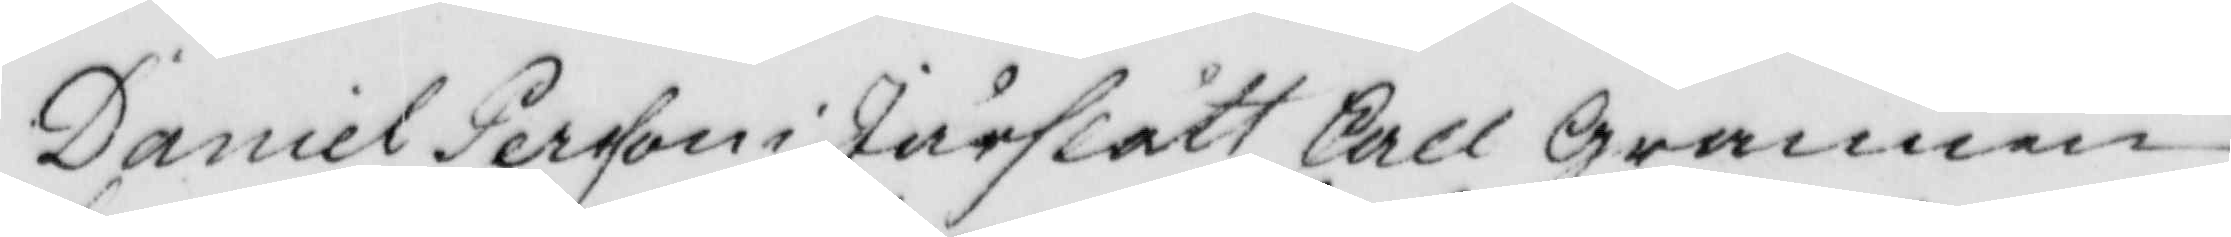Daniel Persson i Jurflått, skall grannen
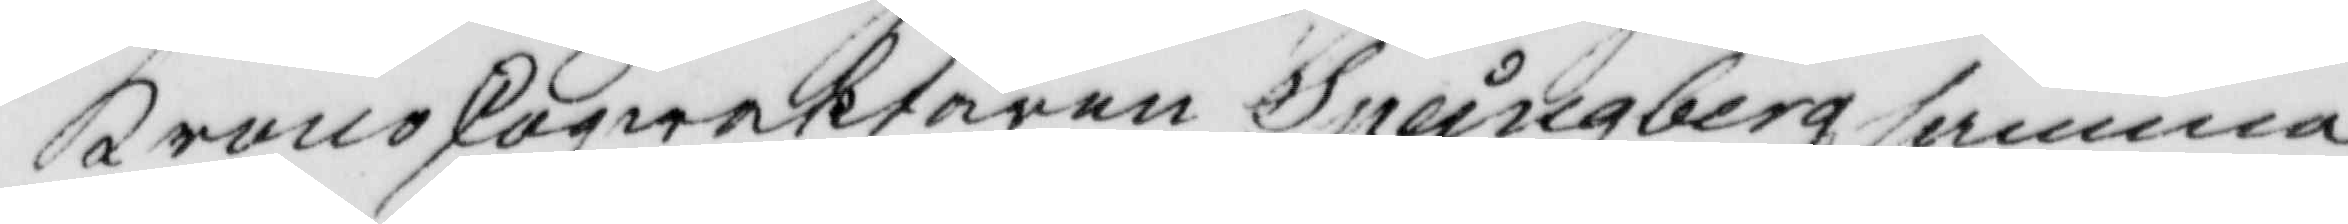kronoskogwaktaren Spångberg, samma
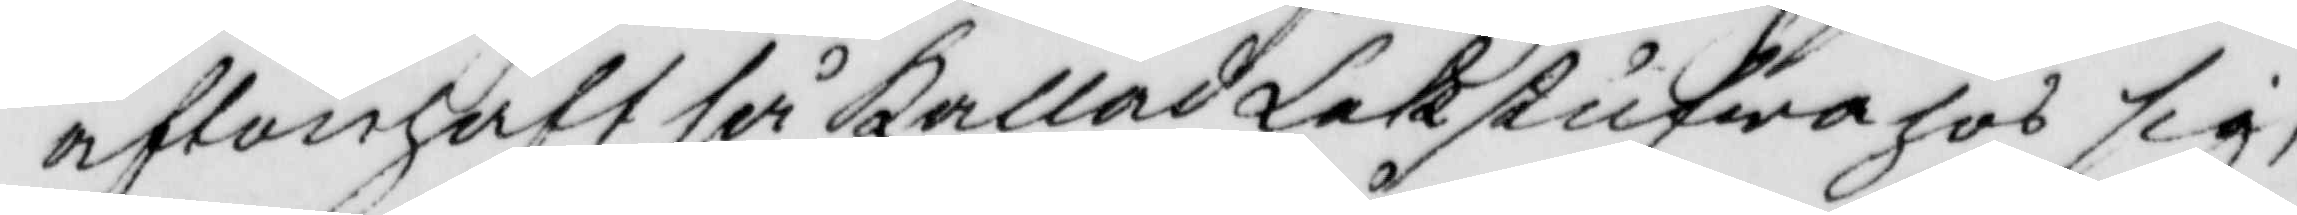afton haft så Kallad Lekstufwa hos sig,
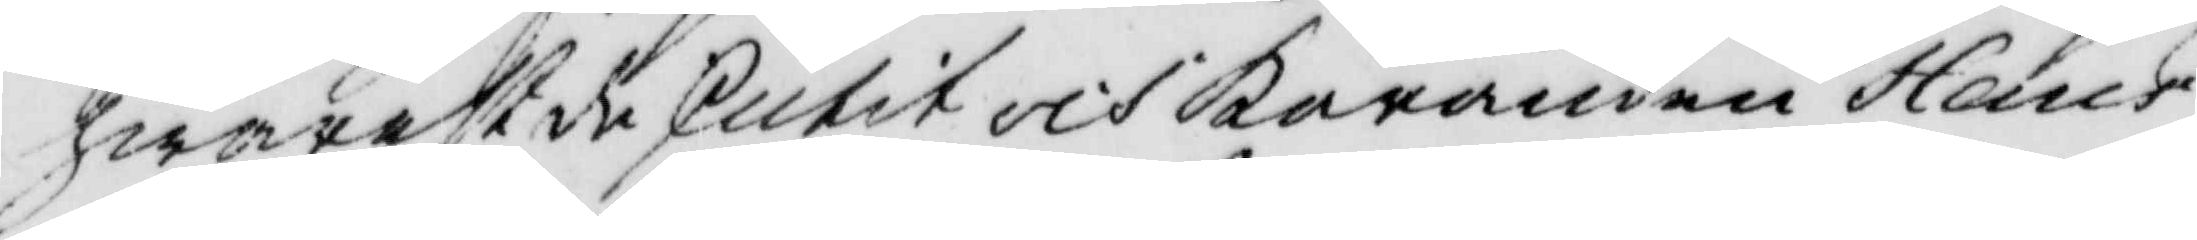hwarest de skutit och Käranden hans
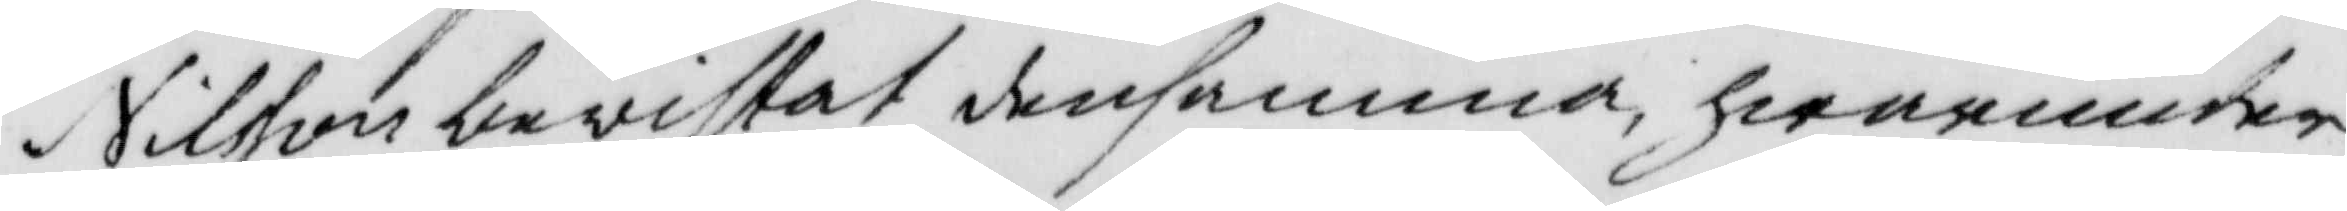Nilsson bevistat densamma, hwarunder
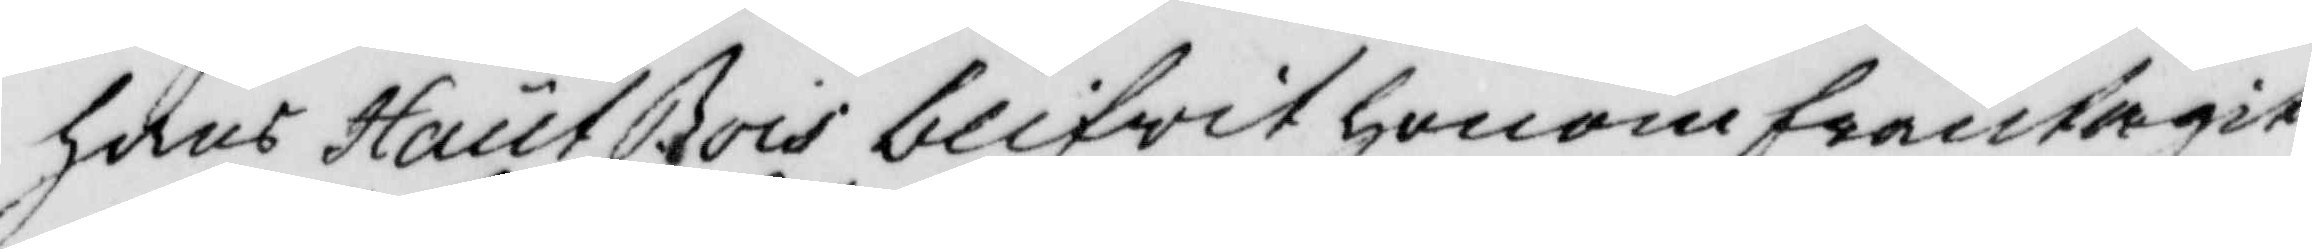hans hautBois blifwit honom fråntagit
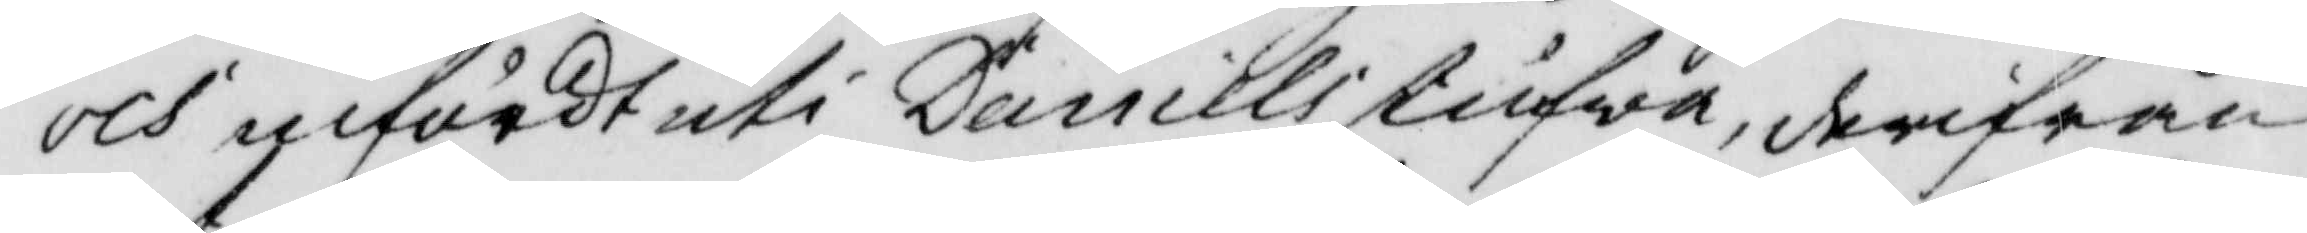och infördt uti Daniels stufwa, derifrån
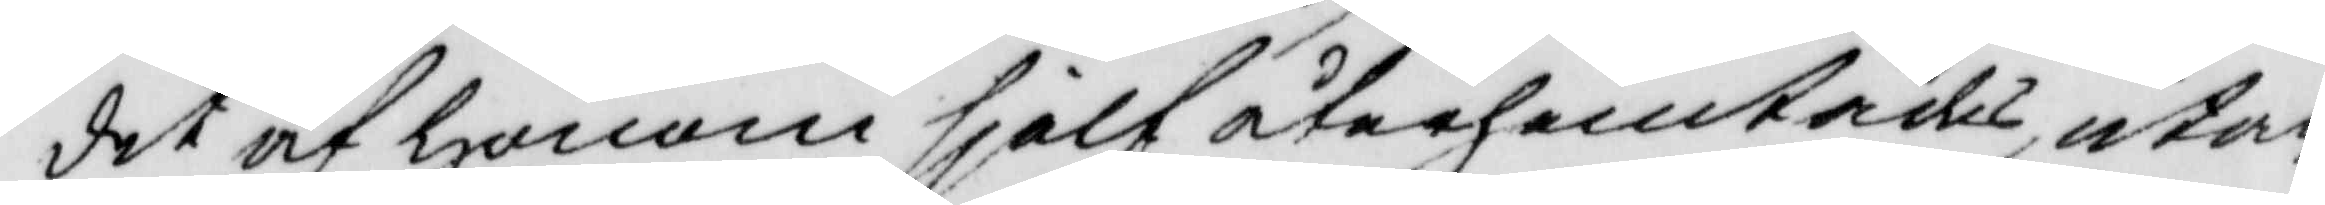det af honom sjelf återhemtades, utan
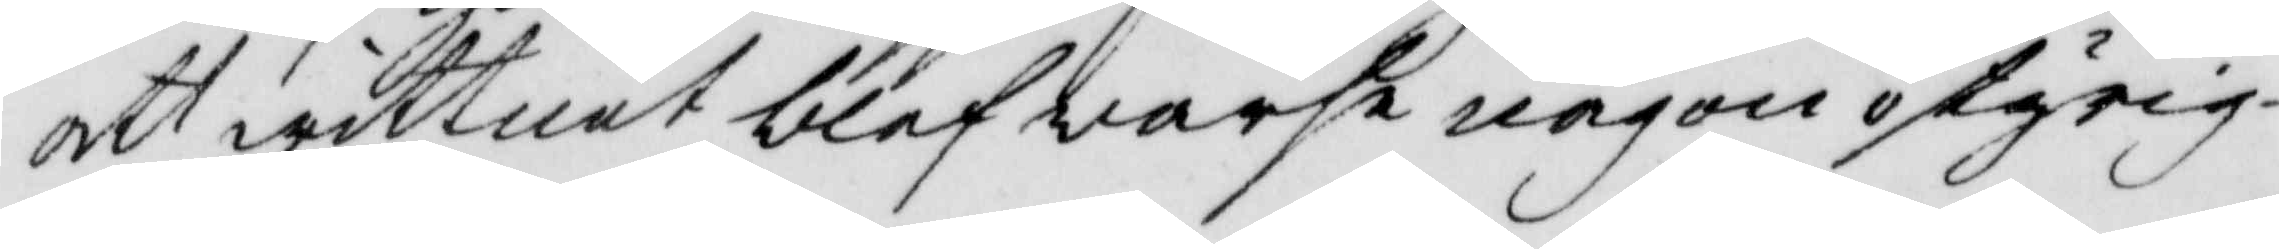att wittnet blef warse någon ostyrig¬
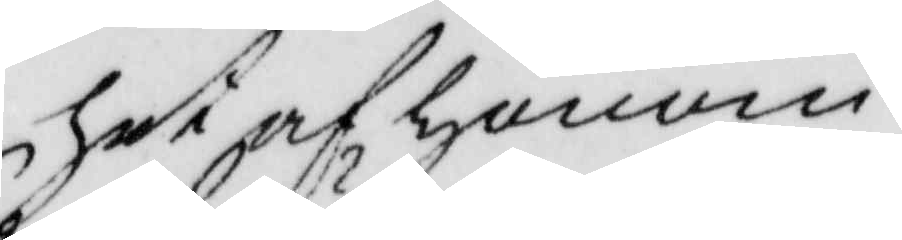het af honom.
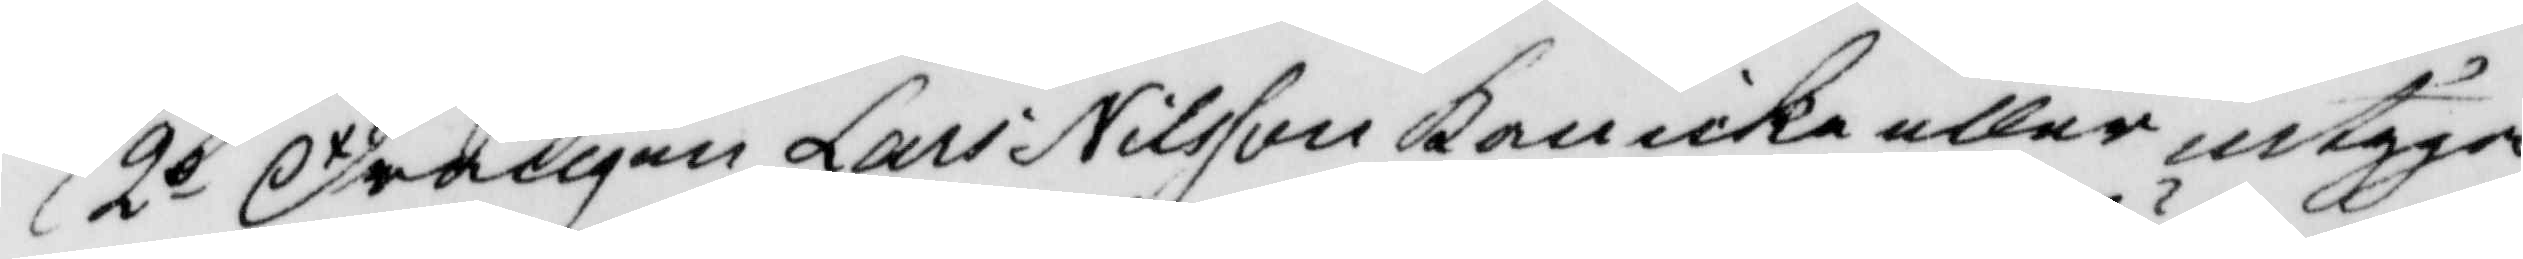2o Drängen Lars Nilsson kan icke eller intyga
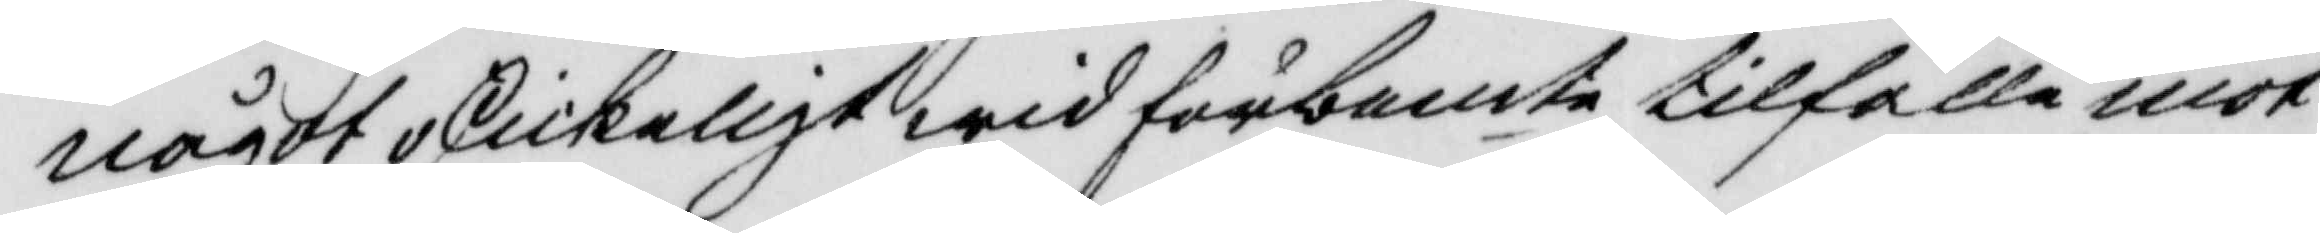något oskickeligt wid förbemte tilfälle mot
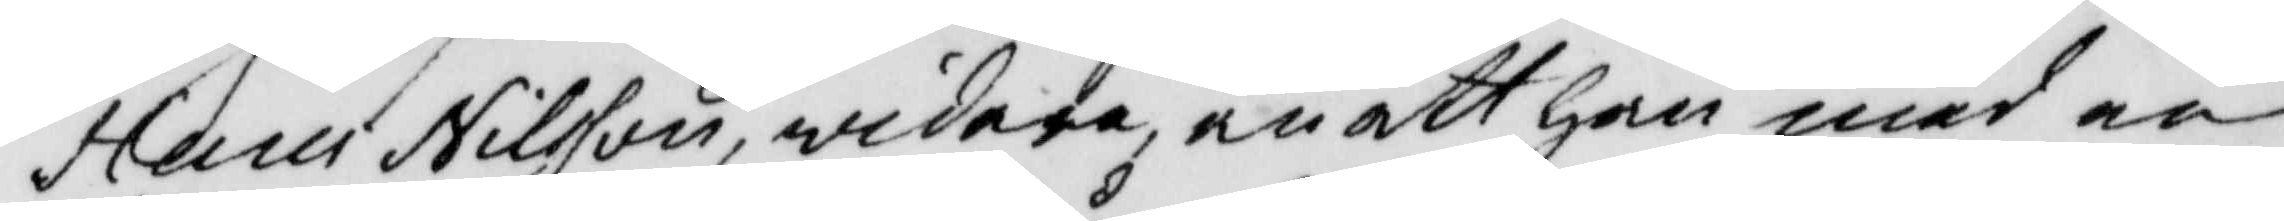Hans Nilsson widare än att han med en
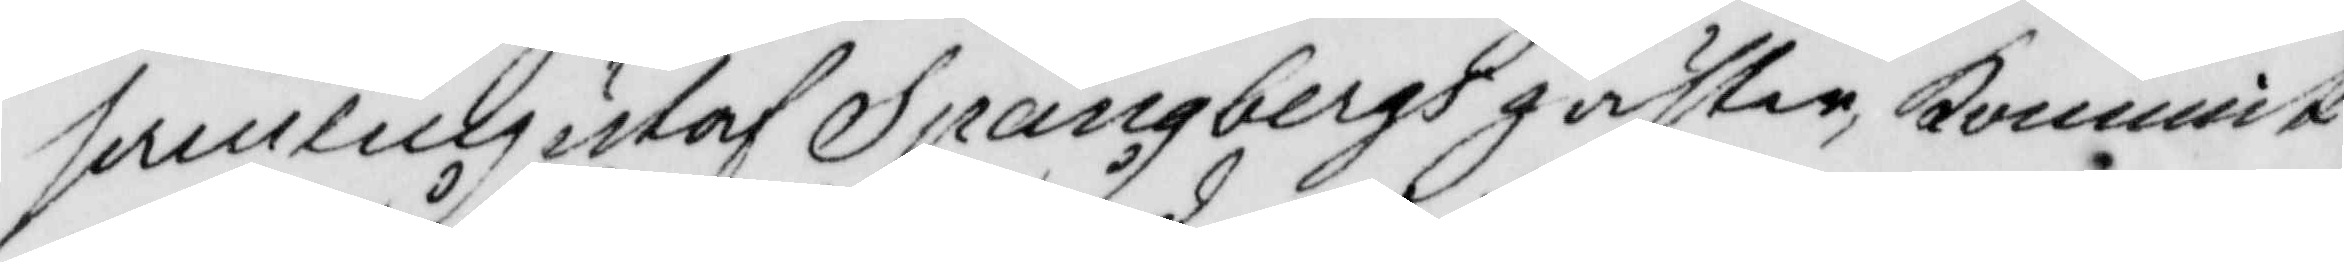samling utaf Spångbergs gäster, kommit
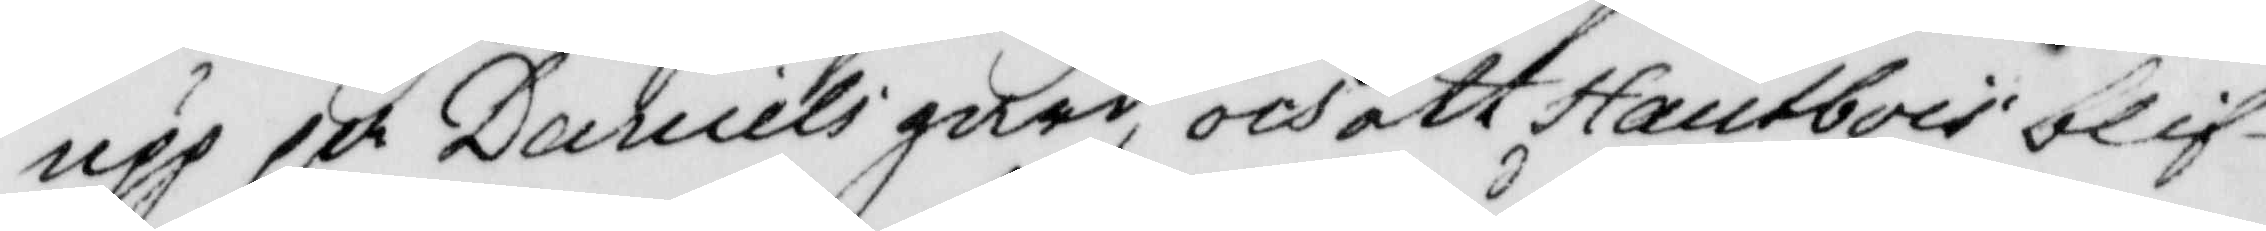upp på Daniels gård, och att Hantbois blif¬
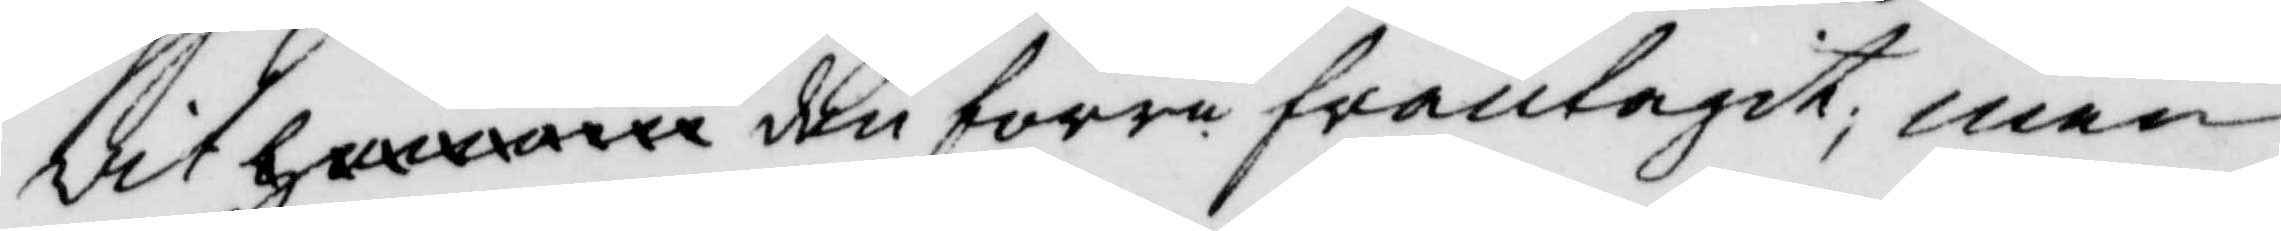vit honom den förre fråntagit, men
